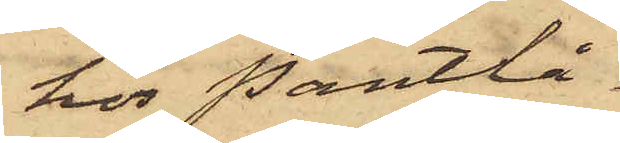hos Pantlå¬
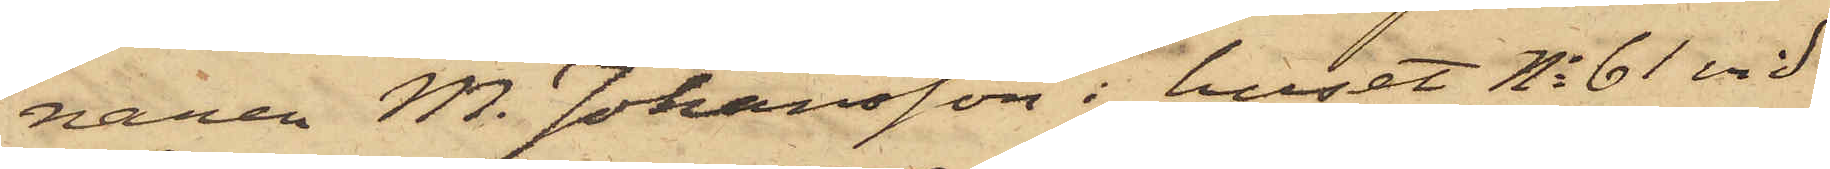naren M. Johansson i huset No 61 vid
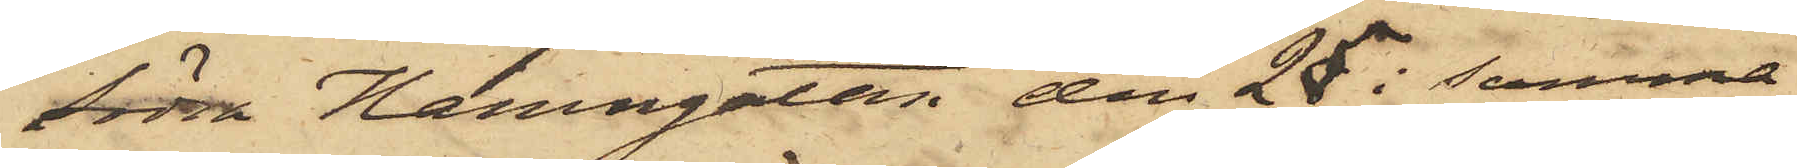Södra Hamngatan den 25 i samma
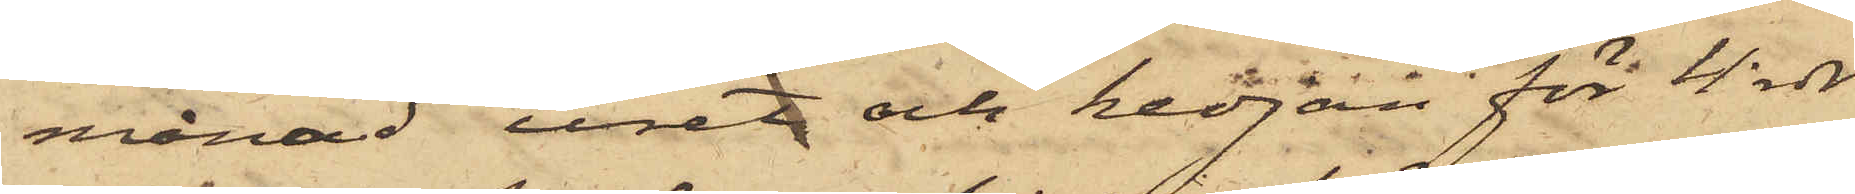månad uret och kedjan för 4 rdr
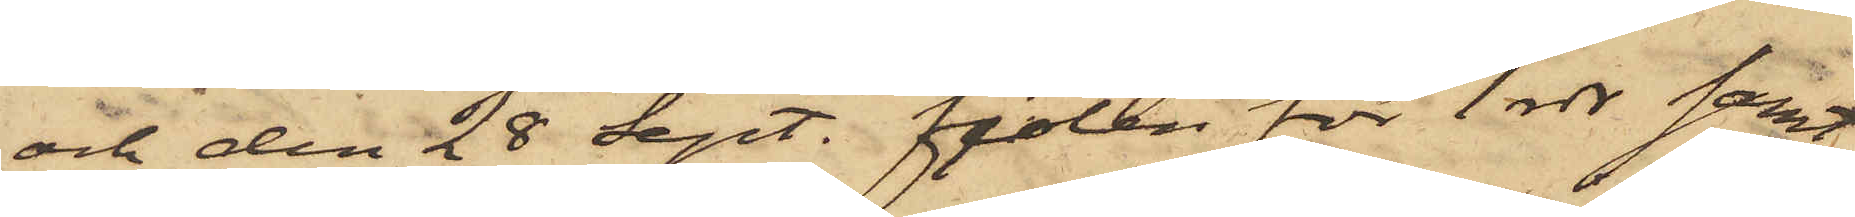och den 28 sept. fiolen för 1 rdr samt
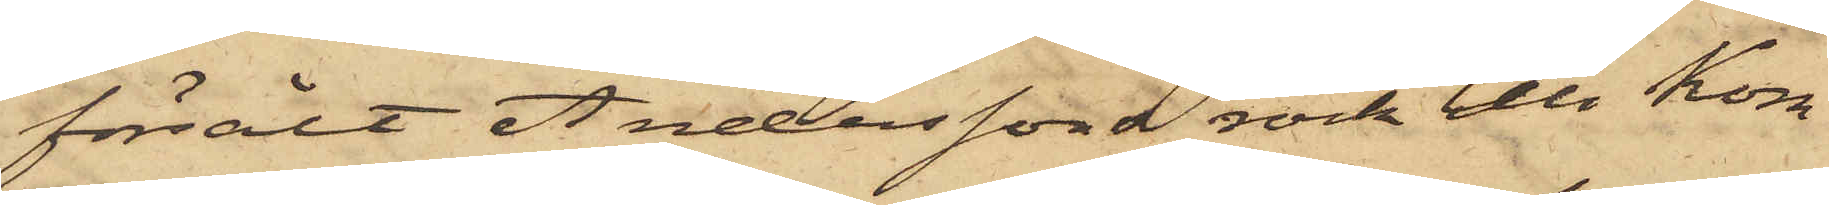försålt Anderssons rock till Kom¬
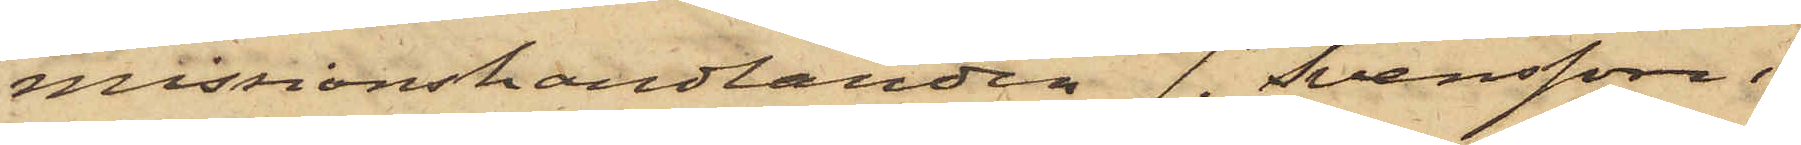missionshandlanden J. Svensson i
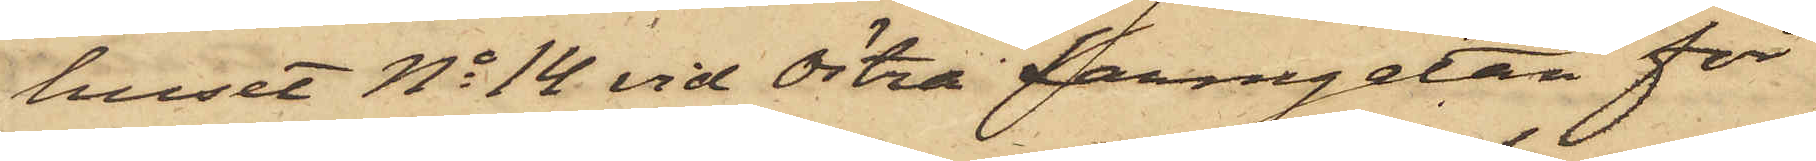huset No 14 vid Östra Larmgatan för
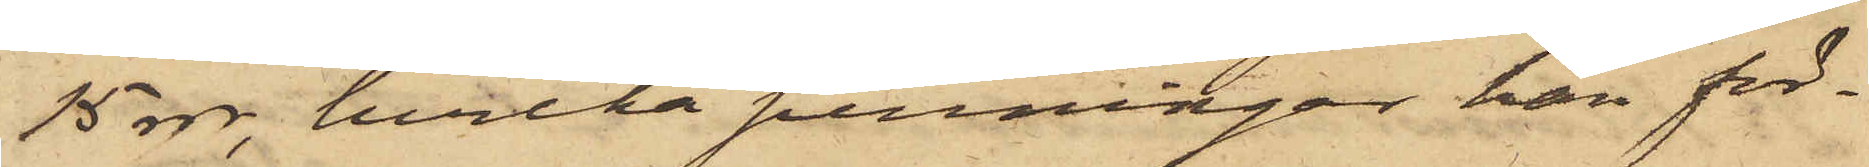15 rdr, hvilka penningar han för¬
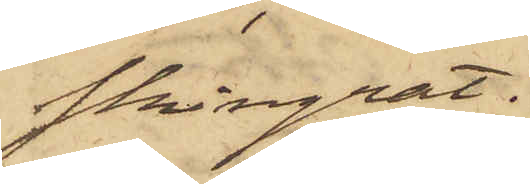skingrat:
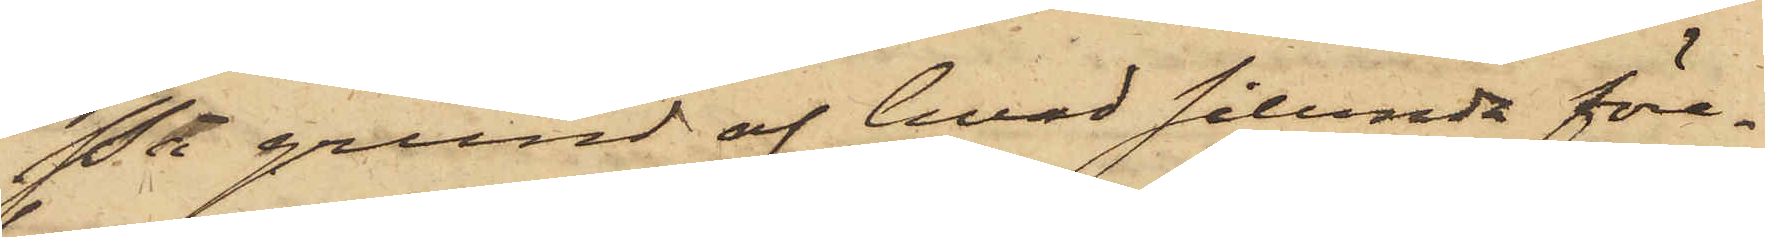På grund af hvad sålunda före¬
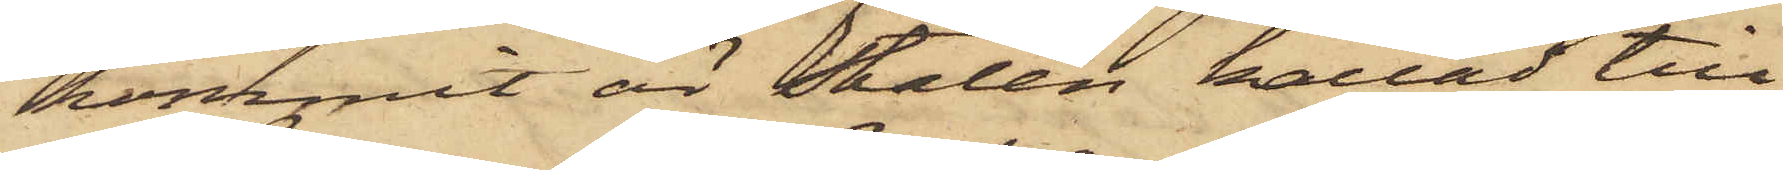kommit är Stalén kallad till
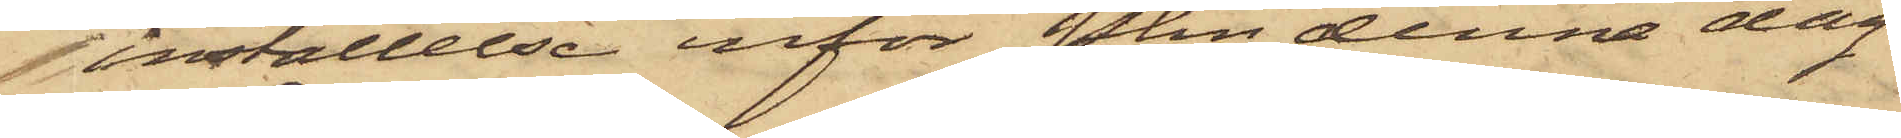inställelse inför Pkn denna dag.
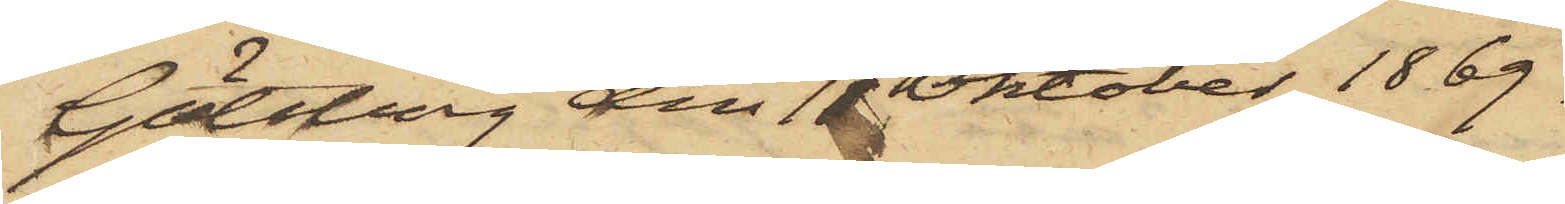Göteborg den 18 Oktober 1869.
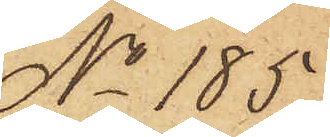No 185.
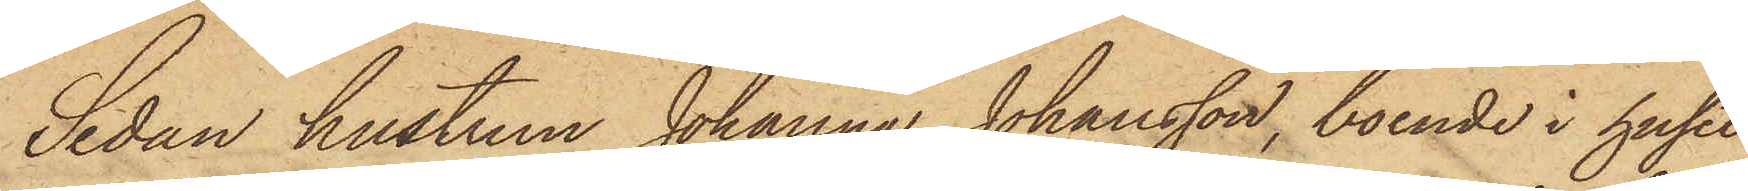Sedan hustrun Johanna Johansson, boende i huset
